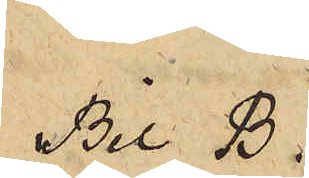Bil B.
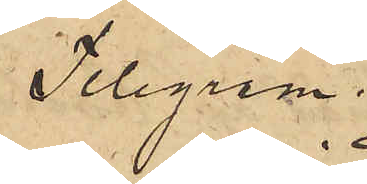Telegram
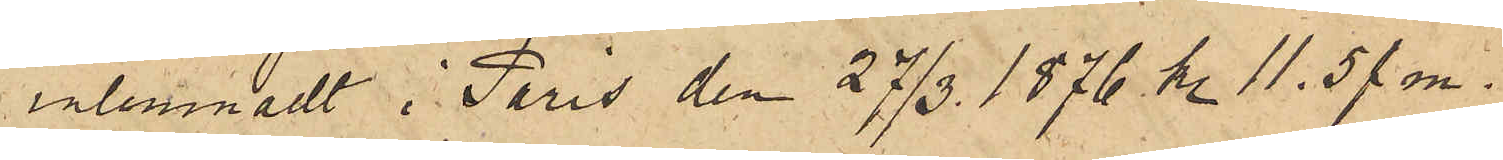inlemnadt i Paris den 27/3 1876 kl. 11.5 f. m.
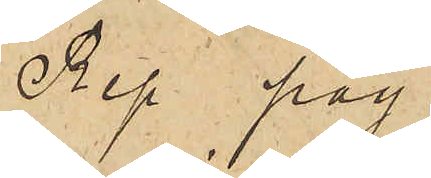Rep pay.
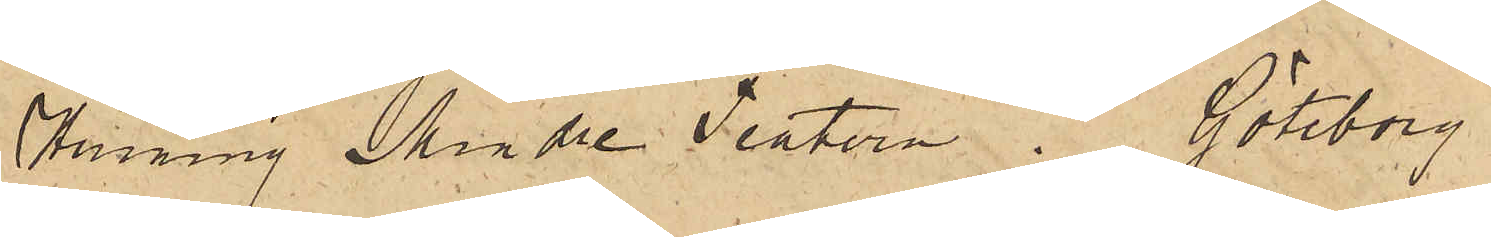Henning Mindre Teatern. Göteborg
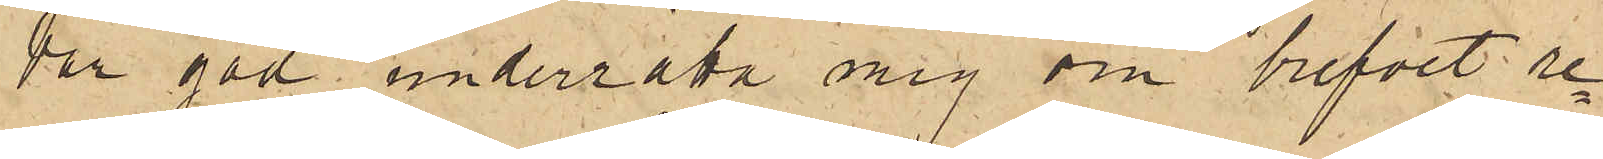Var god underrätta mig om brefvet re¬
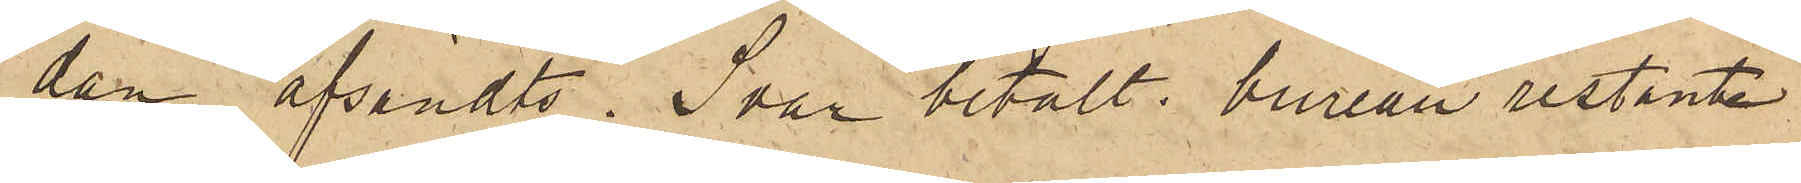dan afsändts. Svar betalt. bureau restante
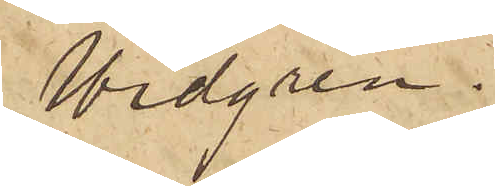Widgren.
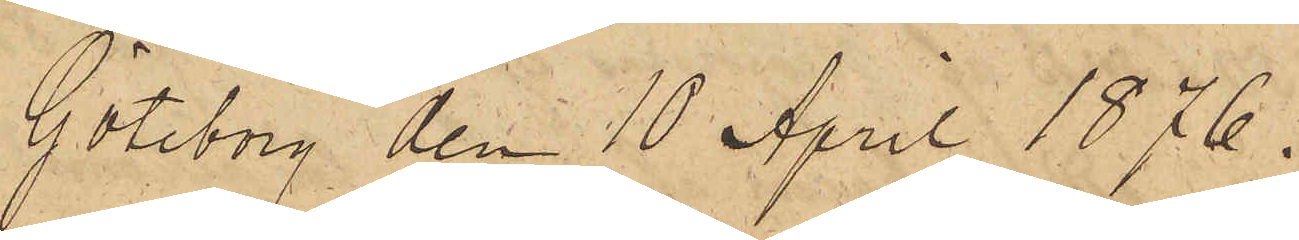Göteborg den 10 April 1876.
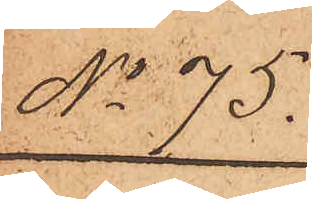No 75.
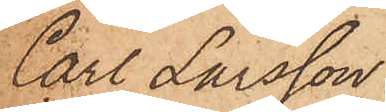Carl Larsson
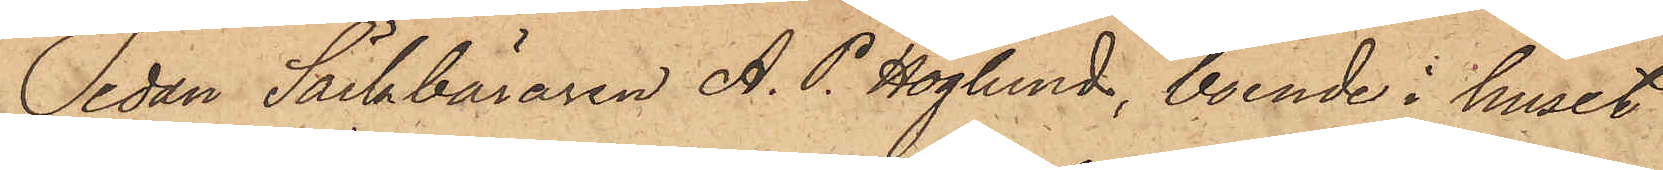Sedan Säckbäraren A. P. Höglund, boende i huset
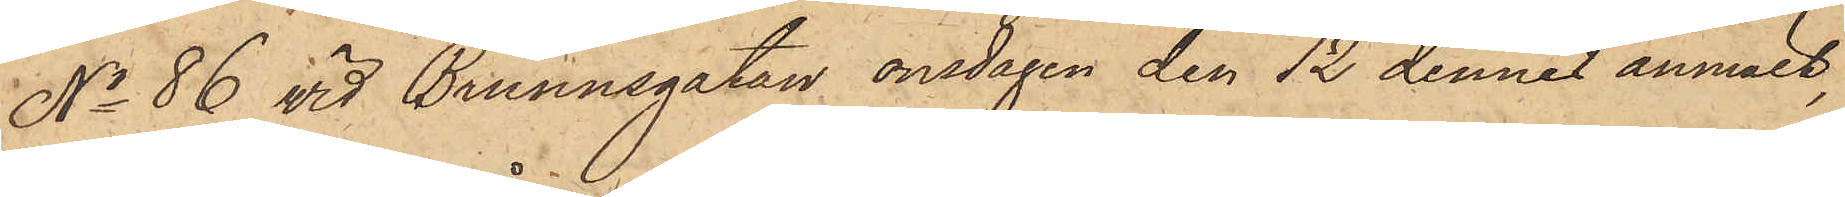No 86 vid Brunnsgatan onsdagen den 12 dennes anmält,
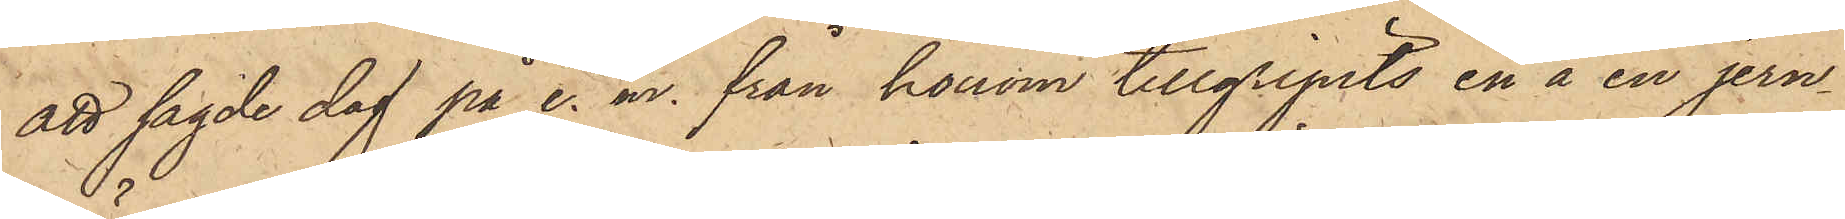att sagde dag på e. m. från honom tillgripits en å en jern¬
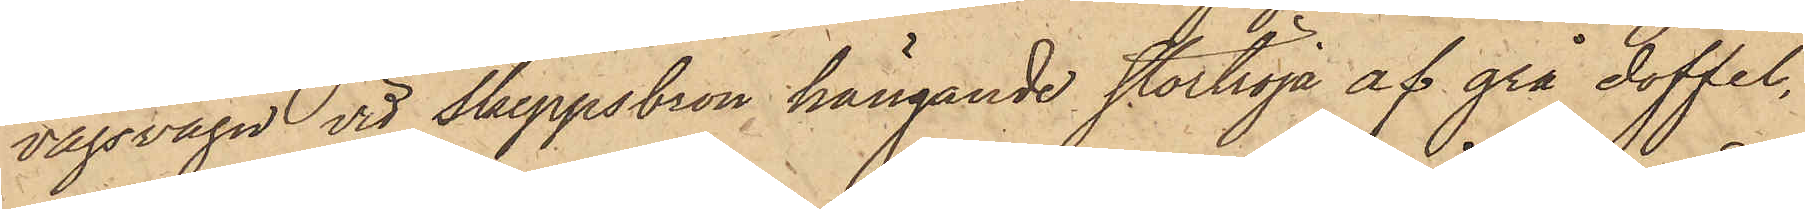vägsvagn vid Skeppsbron hängande stortröja af grå doffel,
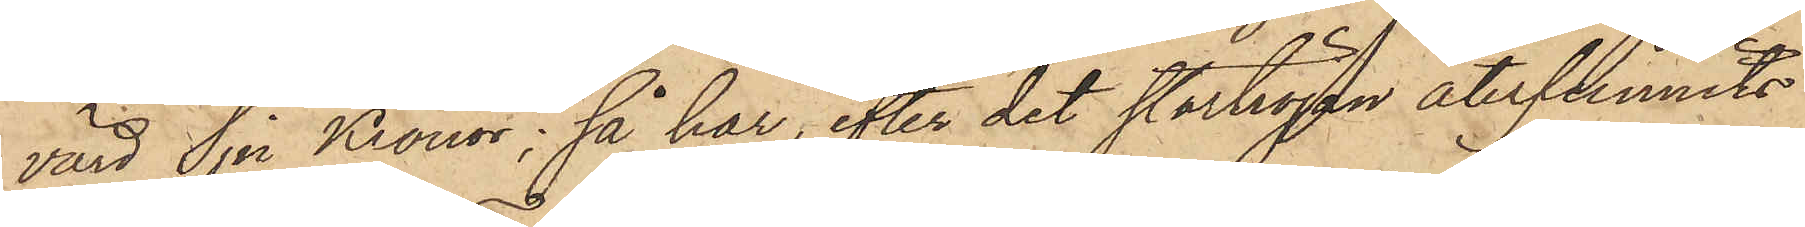värd Sju Kronor; så har, efter det stortröjan återfunnits
